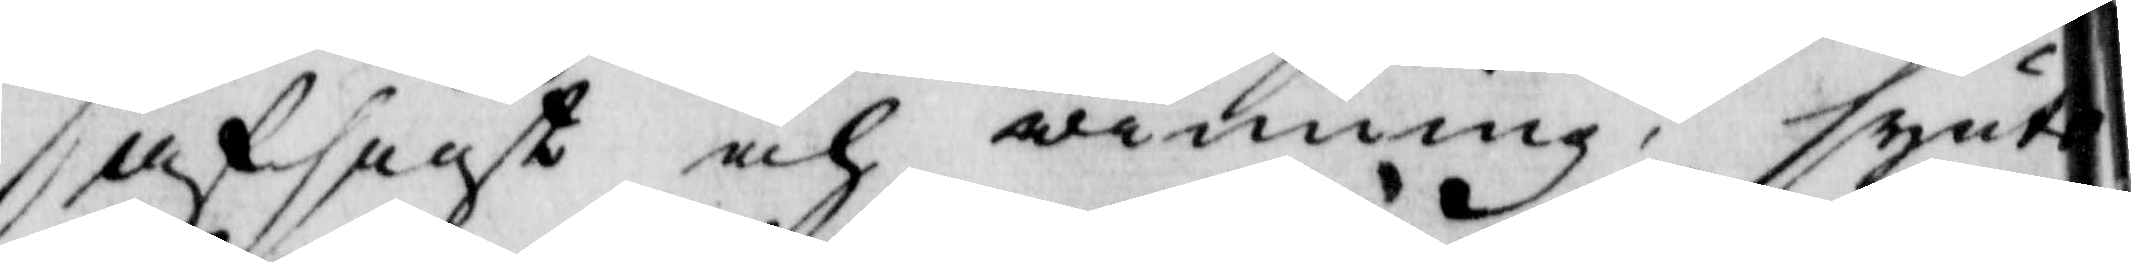afsigt och winning, synte
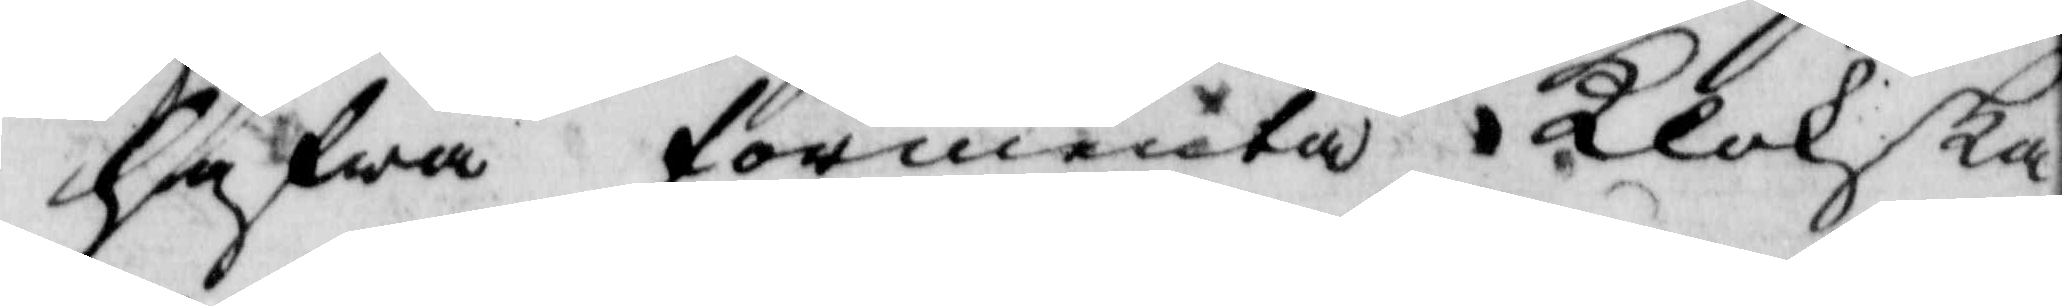hafwa förmenta i Klokska¬
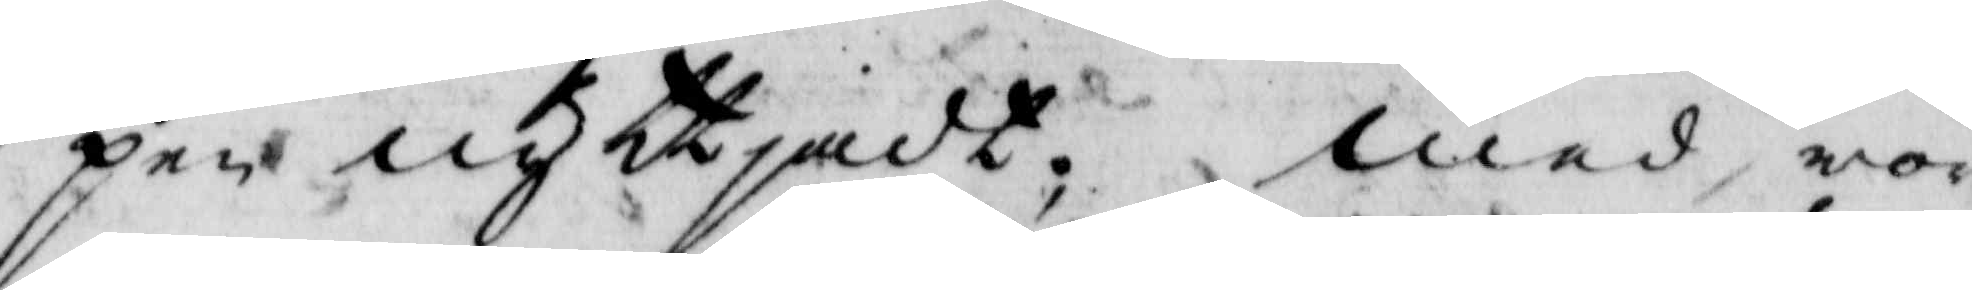pen nyttjadt, med wörd¬
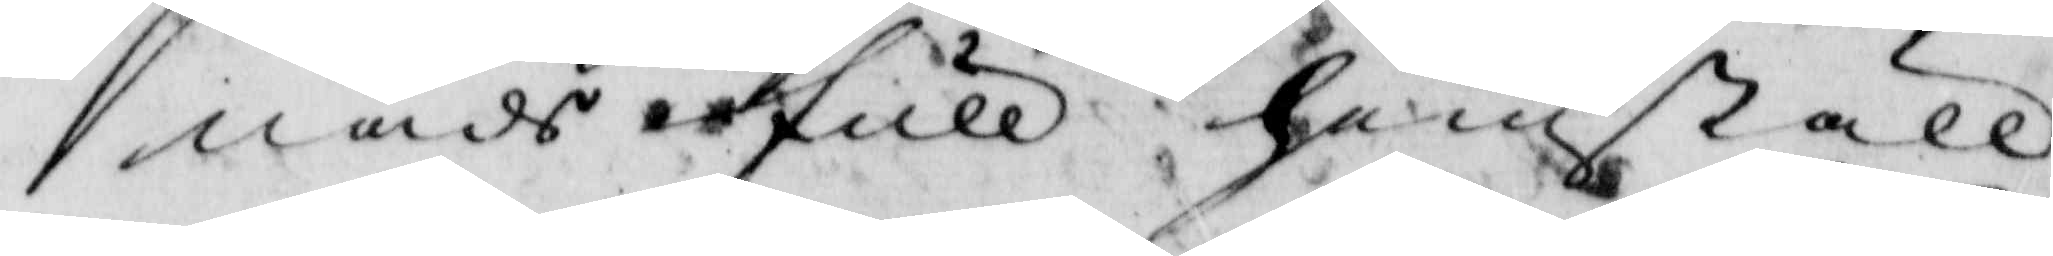nads full hemställ¬
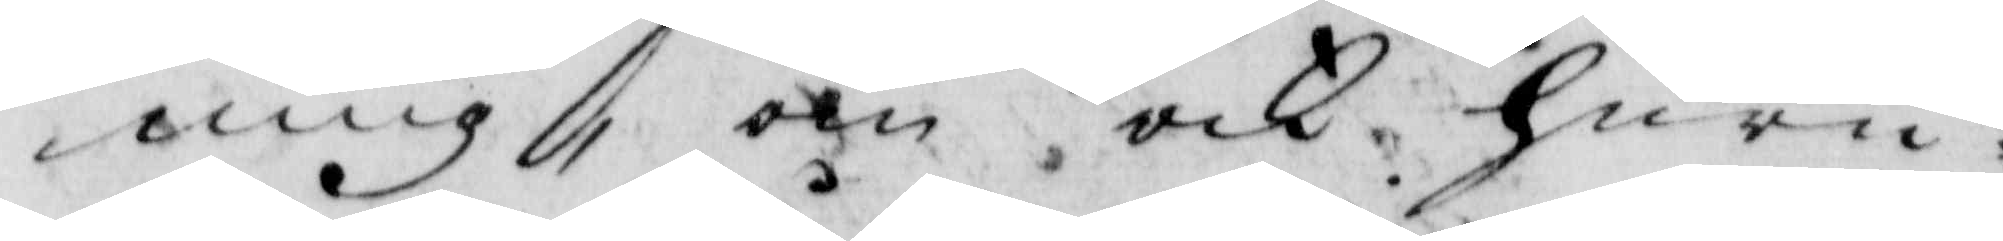ning, om och huru¬
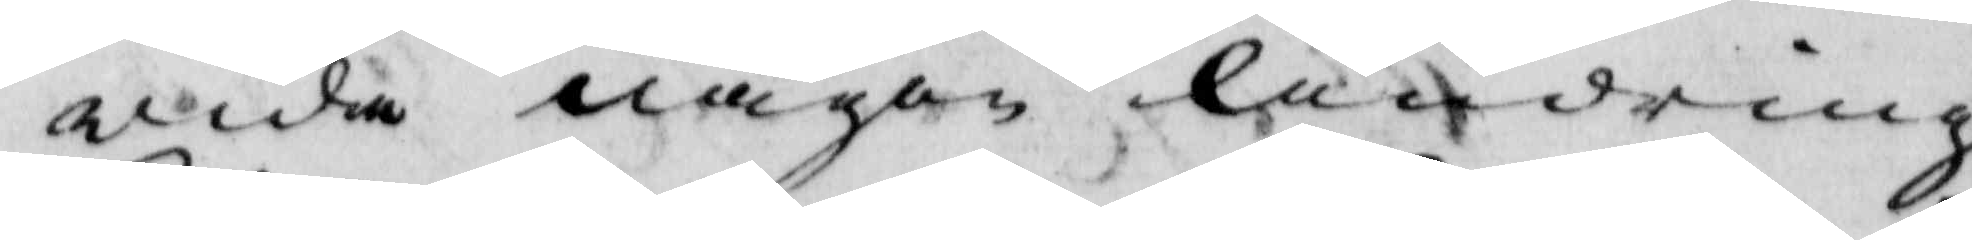wida någon Ändring
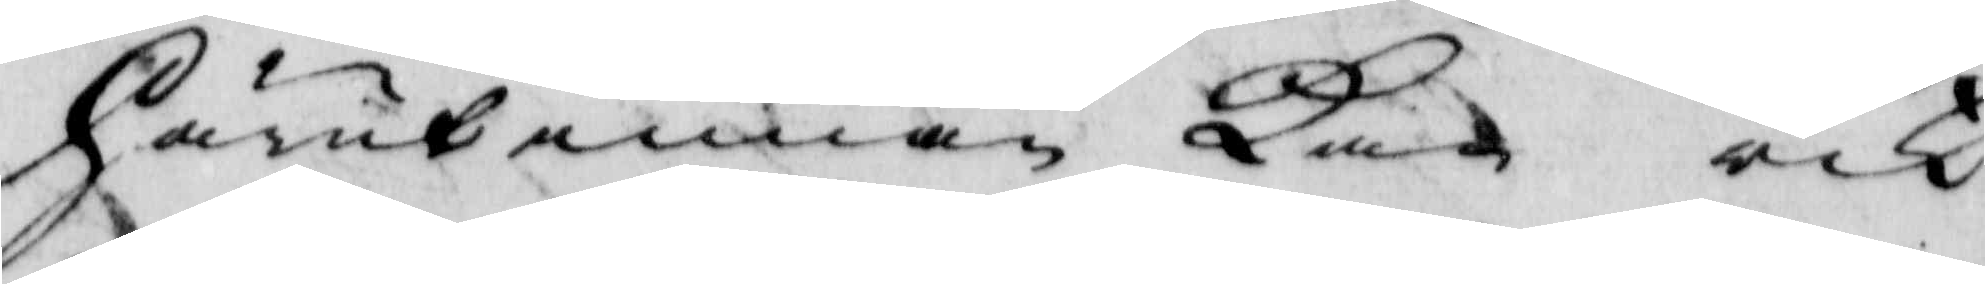härutinnan Kan och
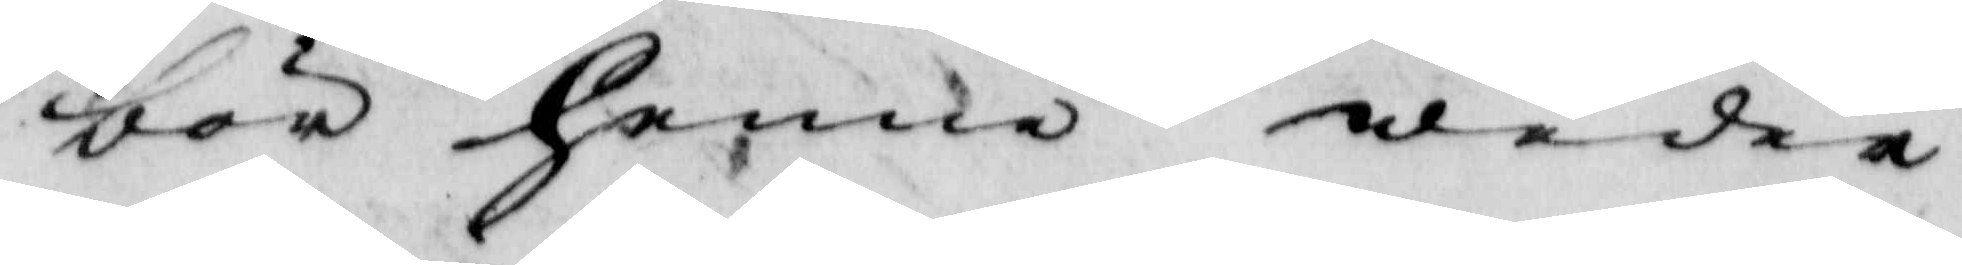bör henne weder¬
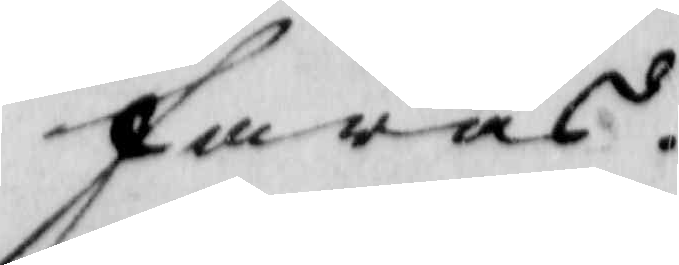faras.
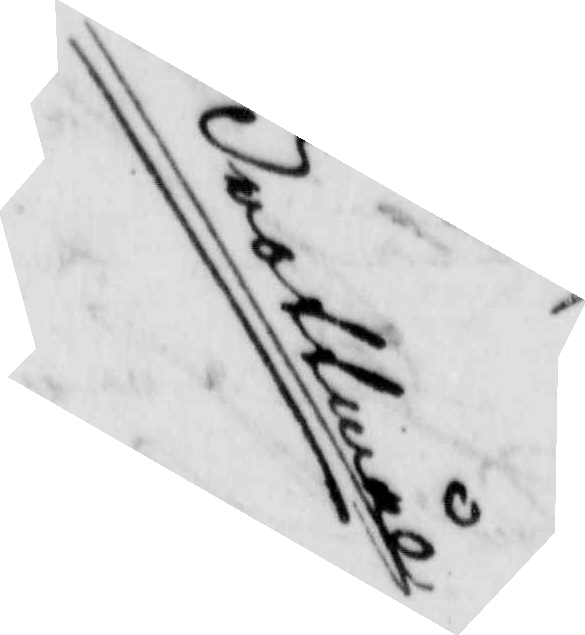Brottmål
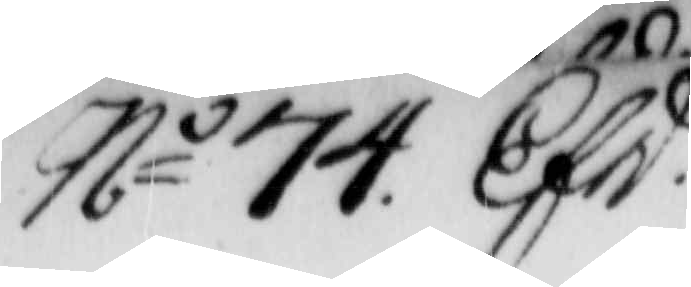No 74 Efd. 
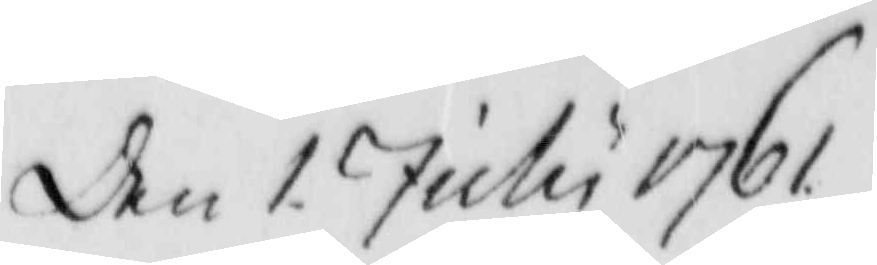den 1 July 1767
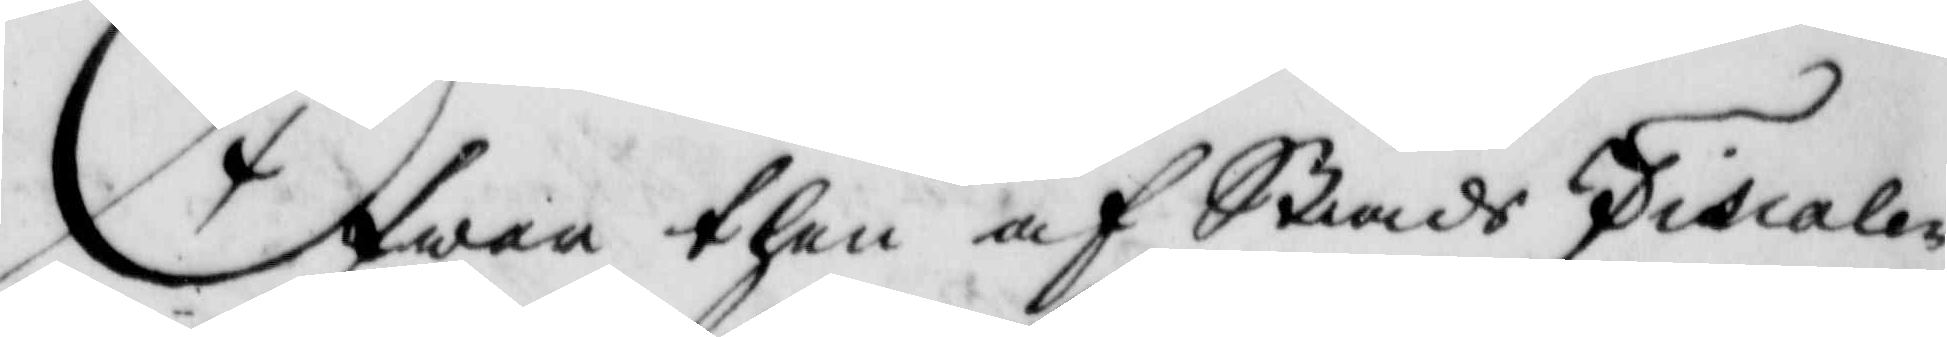Öfwer then af StadsFiscalen
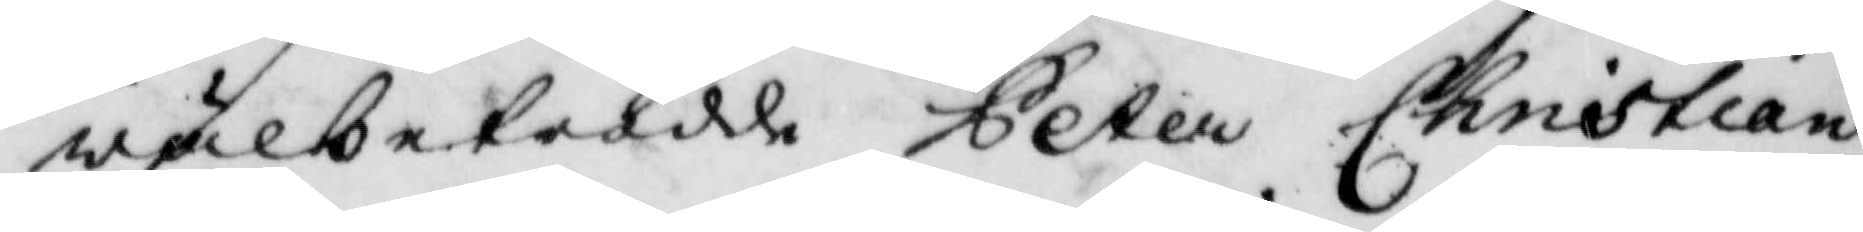wälbetrodde Peter Christian
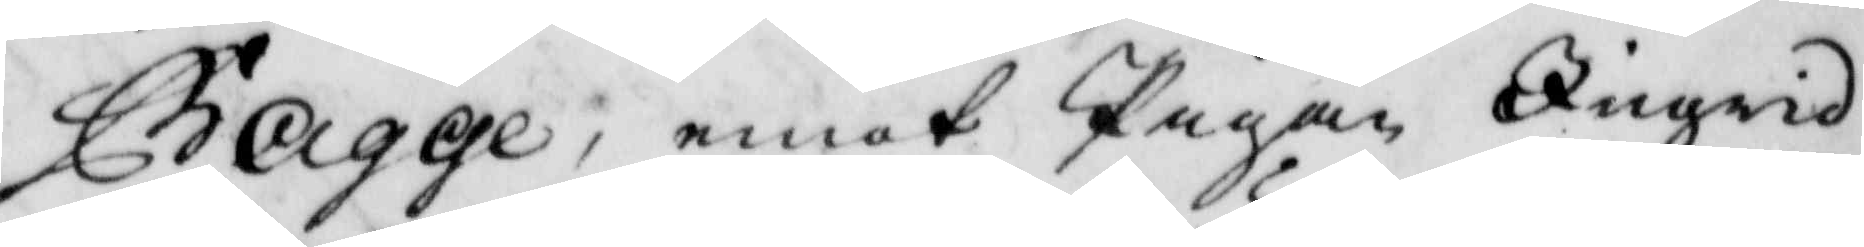Bagge, emot Pigan Ingrid
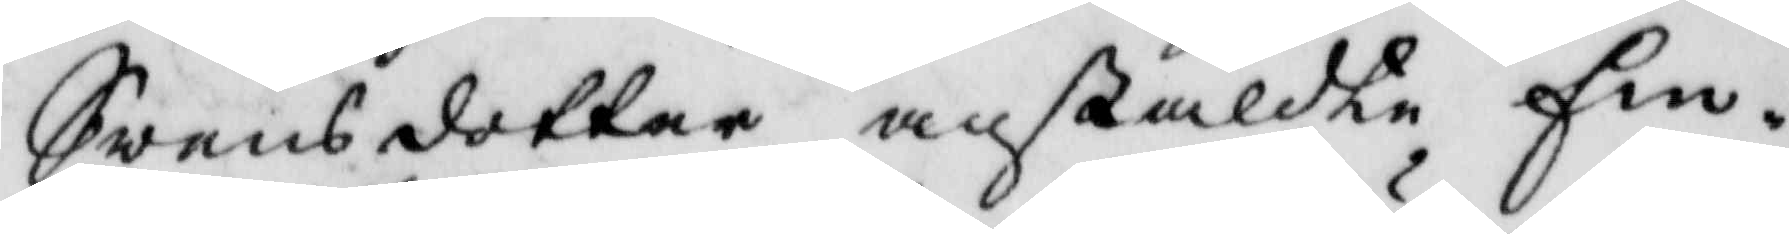Swensdotter anstälte Em¬
